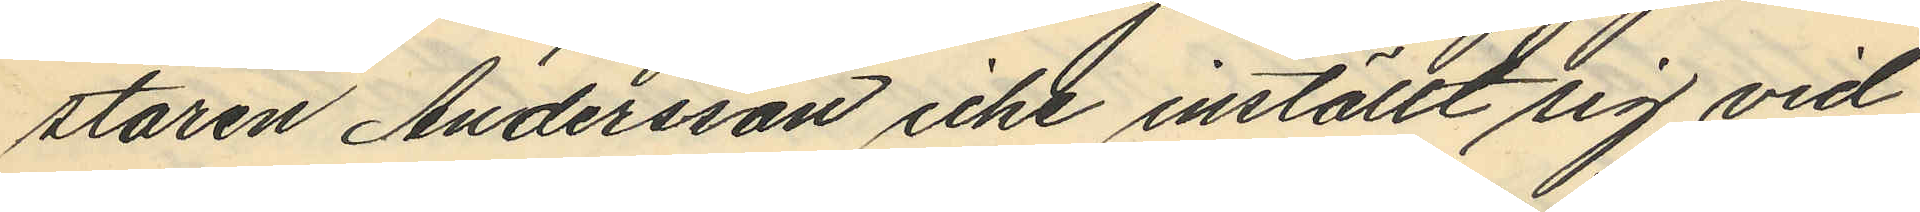staren Andersson icke inställt sig vid
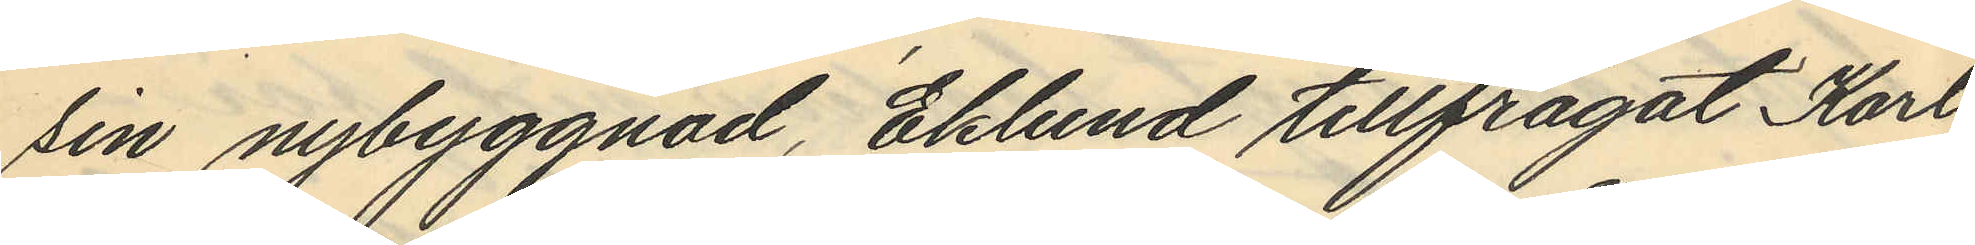sin nybyggnad, Eklund tillfrågat Karl
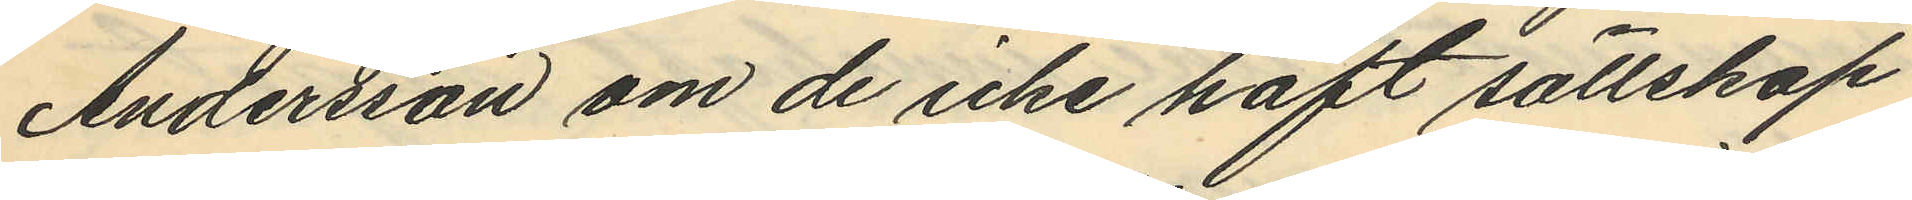Andersson om de icke haft sällskap
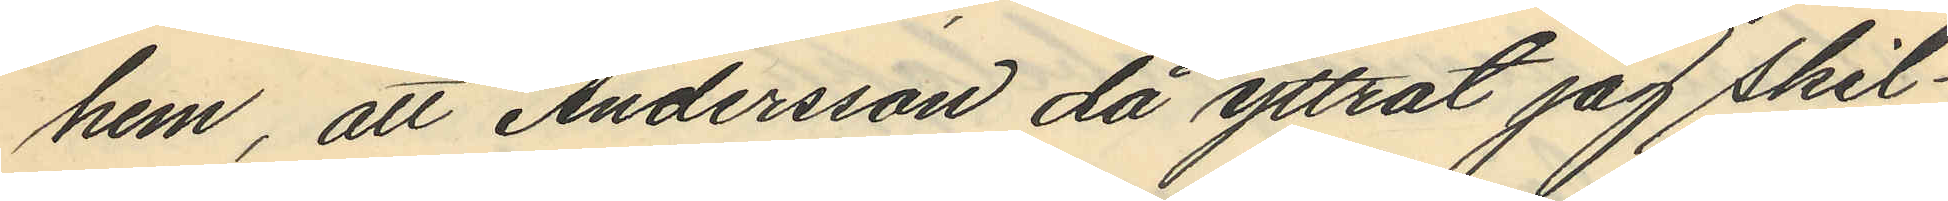hem, att Andersson då yttrat jag skil¬
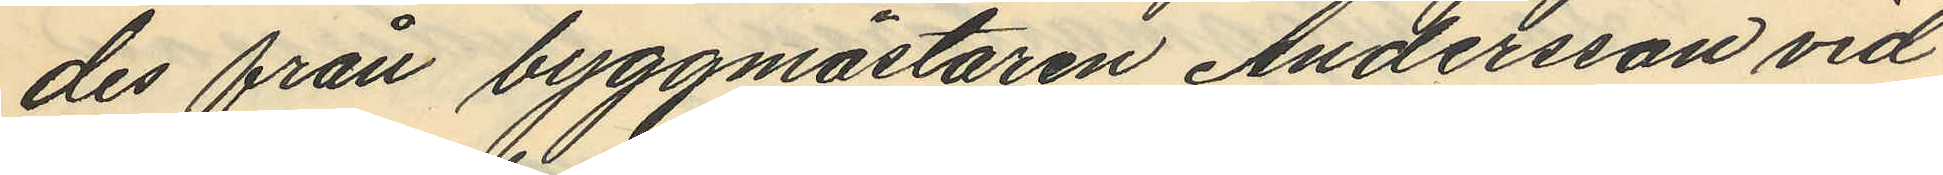des från byggmästaren Andersson vid
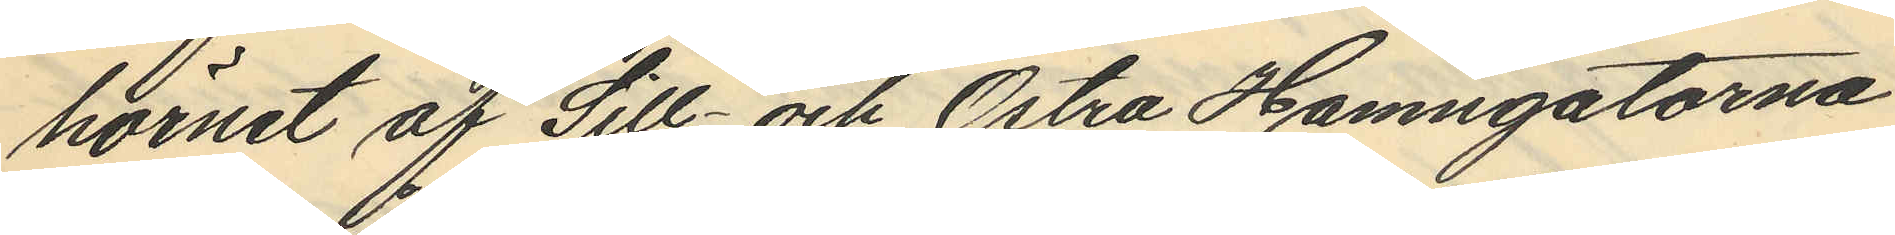hörnet af Sill- och Östra Hamngatorna
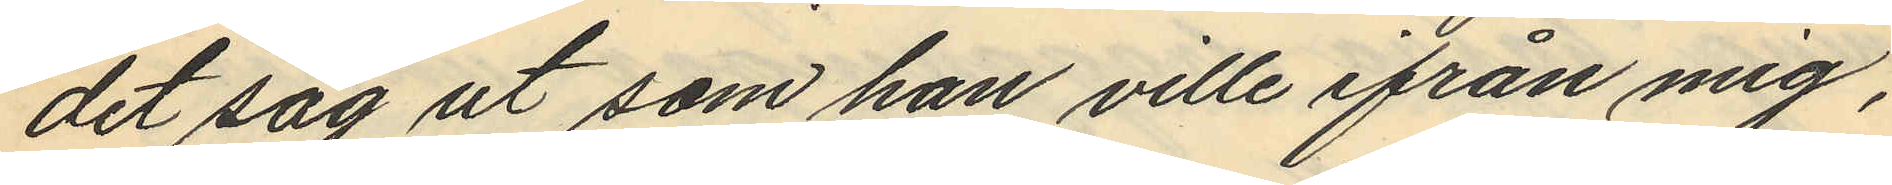det såg ut som han ville ifrån mig,
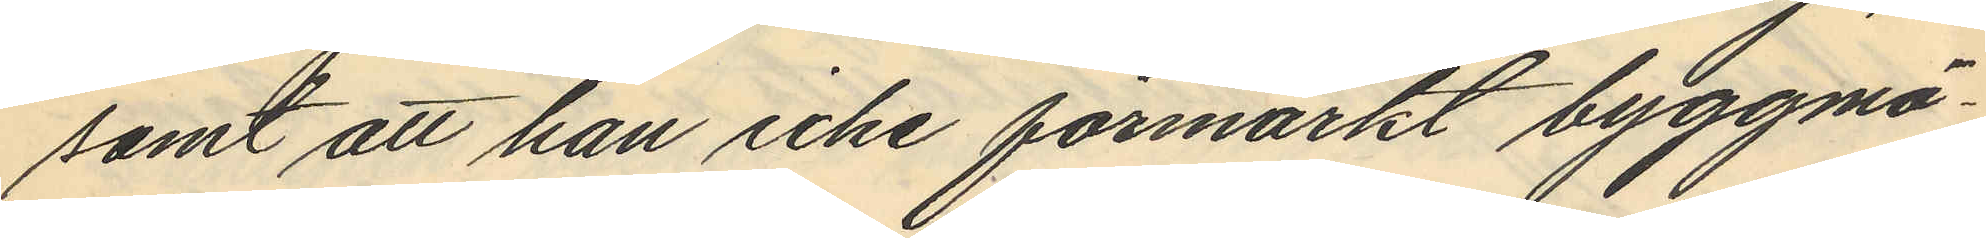samt att han icke förmärkt byggmä¬
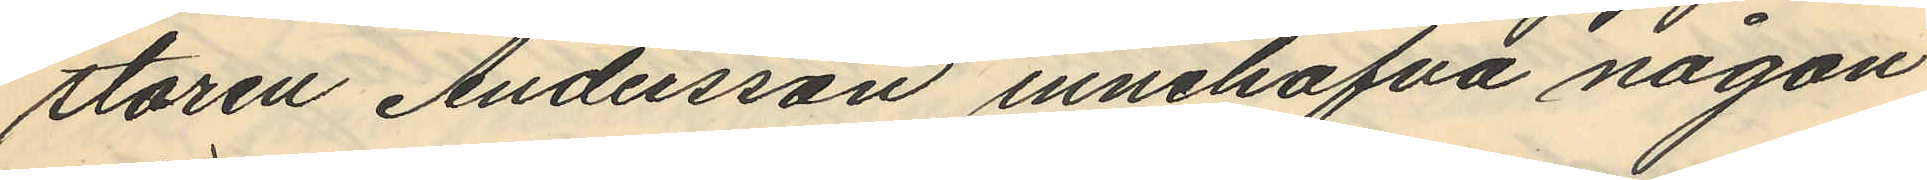staren Andersson innehafva någon
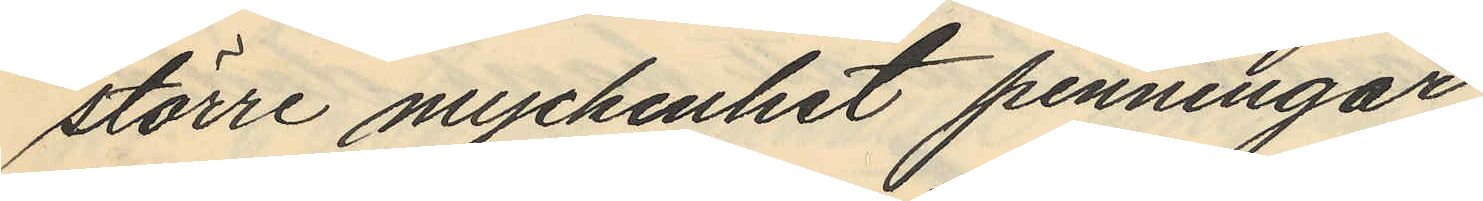större myckenhet penningar
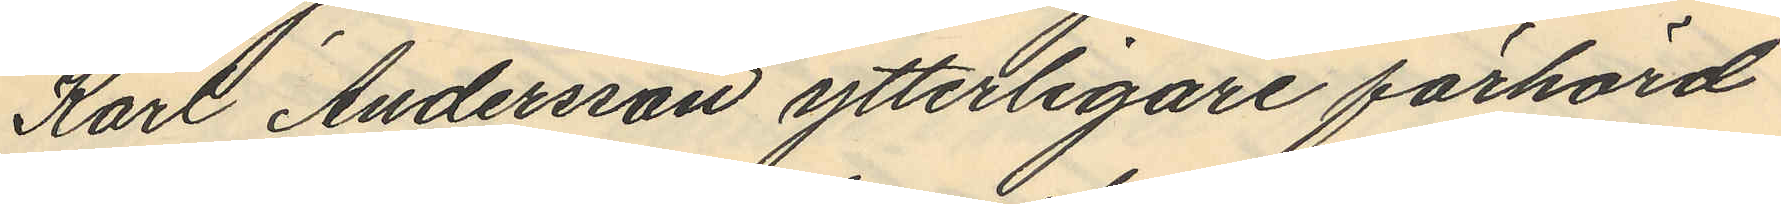Karl Andersson ytterligare förhörd
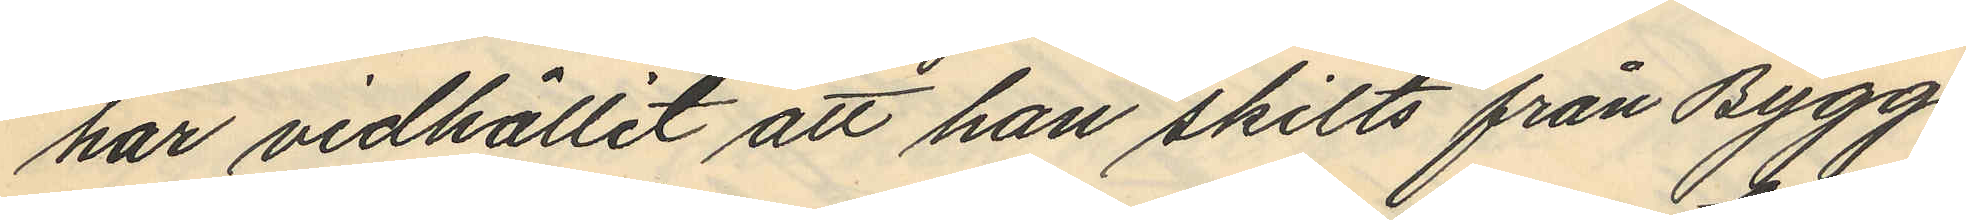har vidhållit att han skilts från Bygg¬
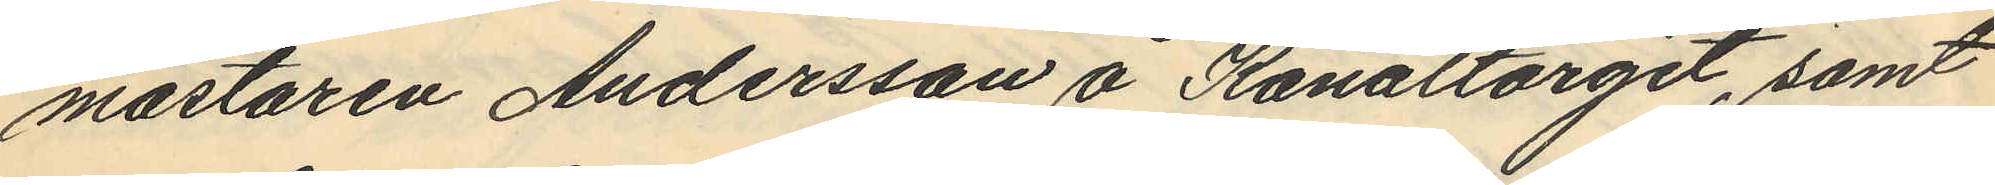mästaren Andersson å Kanaltorget, samt
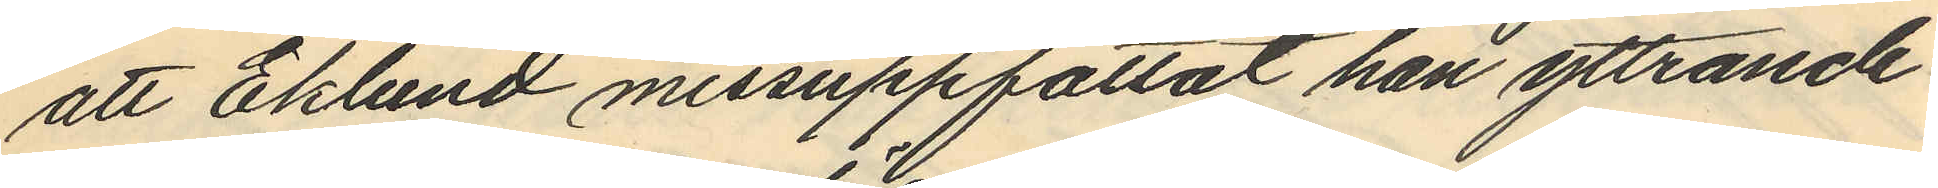att Eklund missuppfattat han yttrande
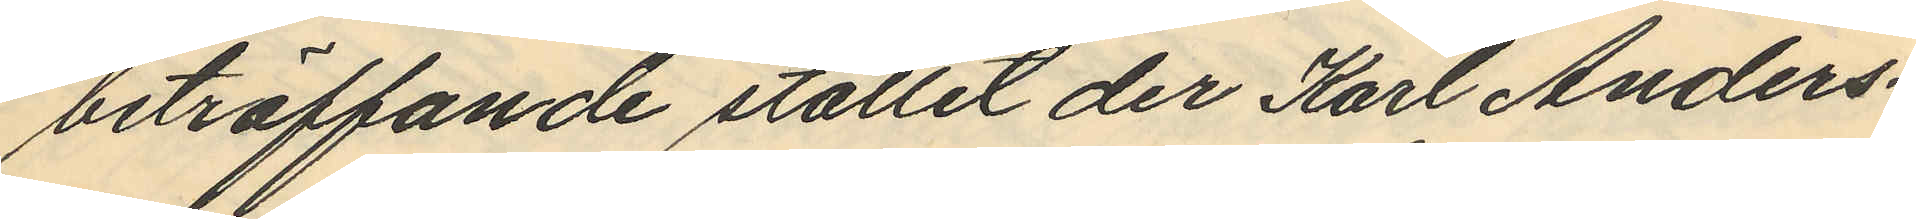beträffande stället der Karl Anders¬
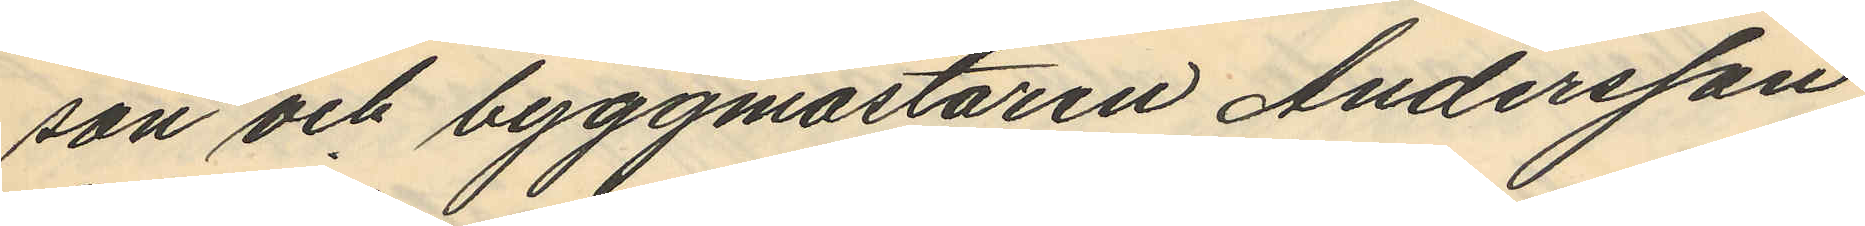son och byggmästaren Andersson
